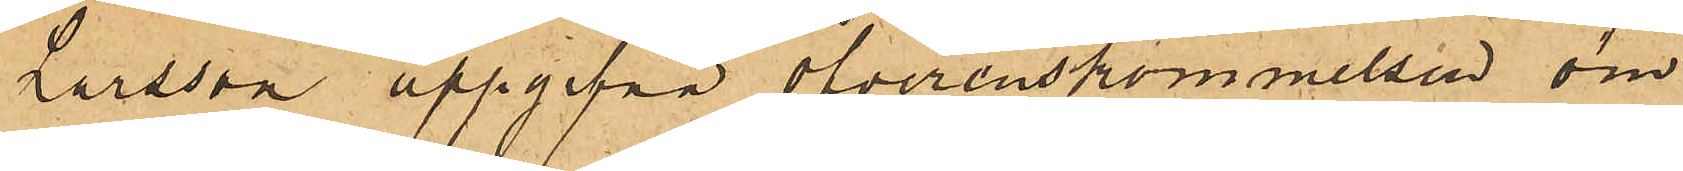Larsson uppgifna öfverenskommelsen om
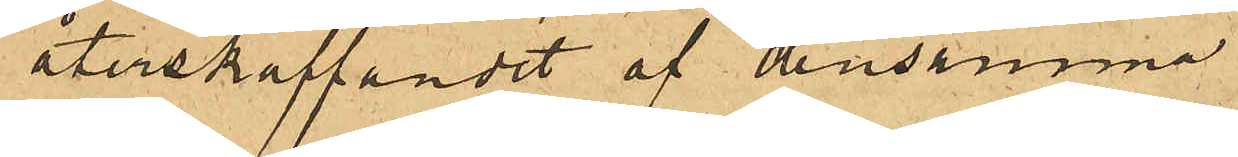återskaffandet af densamma.
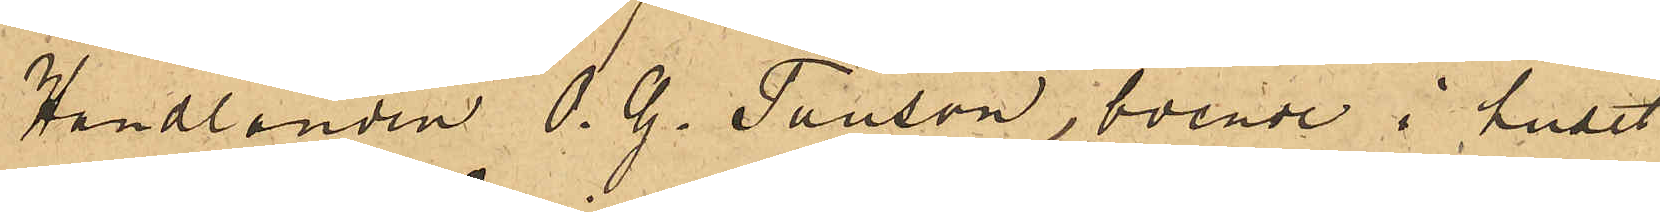Handlanden O. G. Tauson, boende i huset
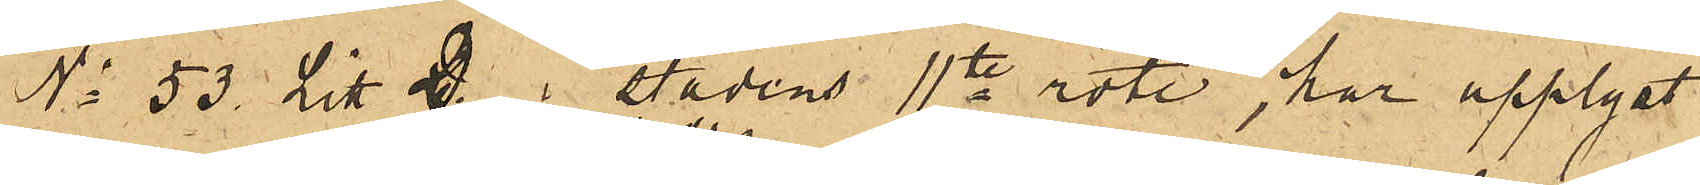No 53 Litt D. i stadens 11te rote, har upplyst
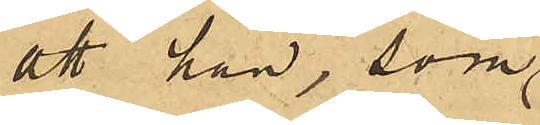att han, som
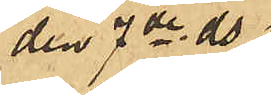den 7de ds
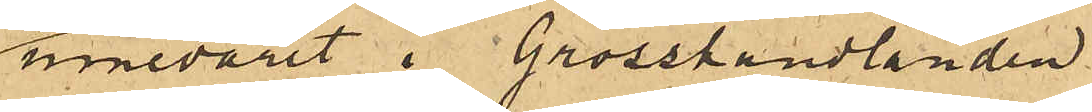innevarit i Grosshandlanden
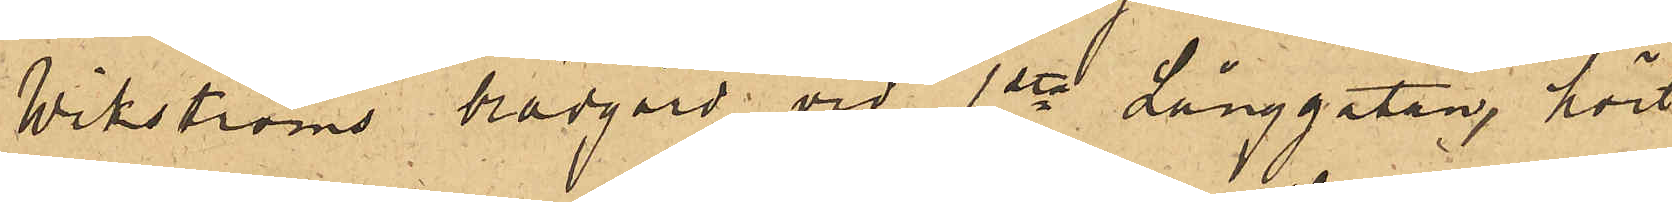Wikströms brädgård vid 1sta Långgatan, hört
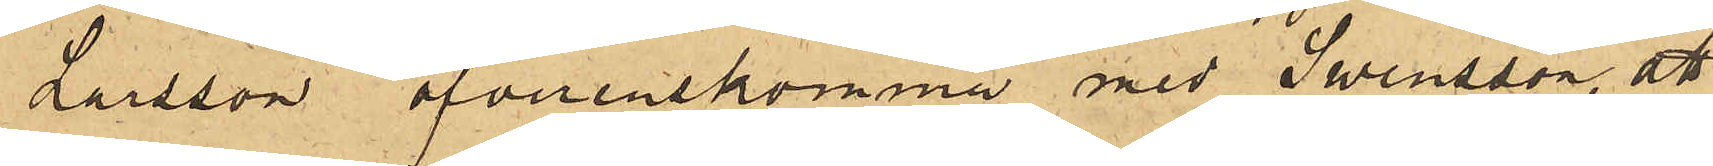Larsson öfverenskomma med Swensson, att
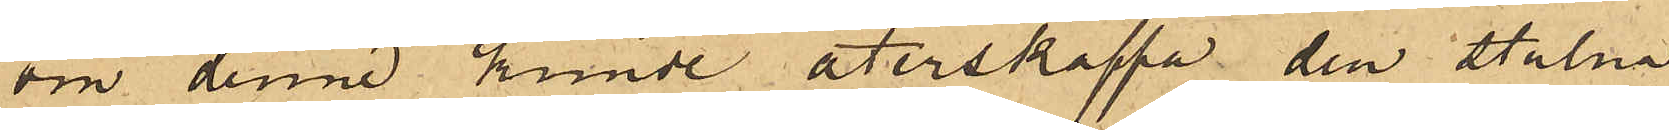om denne kunde återskaffa den stulna
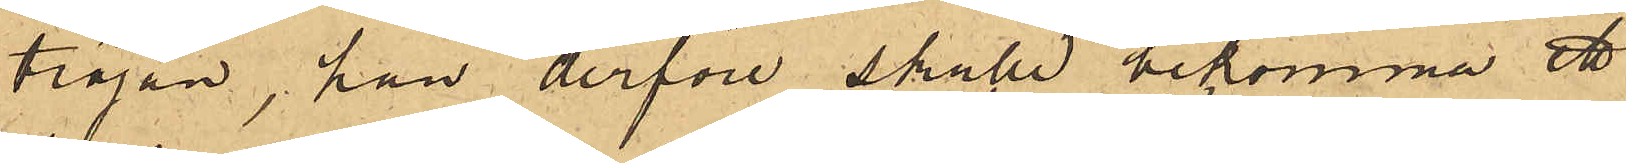tröjan, han derföre skulle bekomma ett
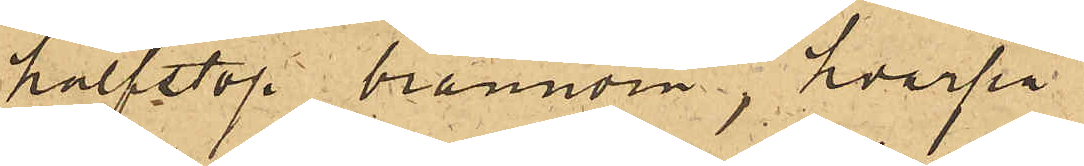halfstop brännvin, hvarpå
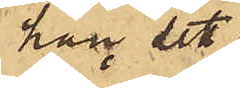han sett
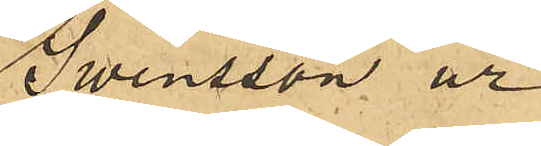Swensson ur
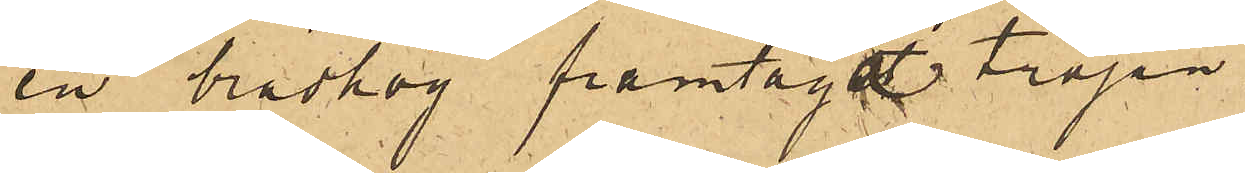en brädhög framtaga tröjan.
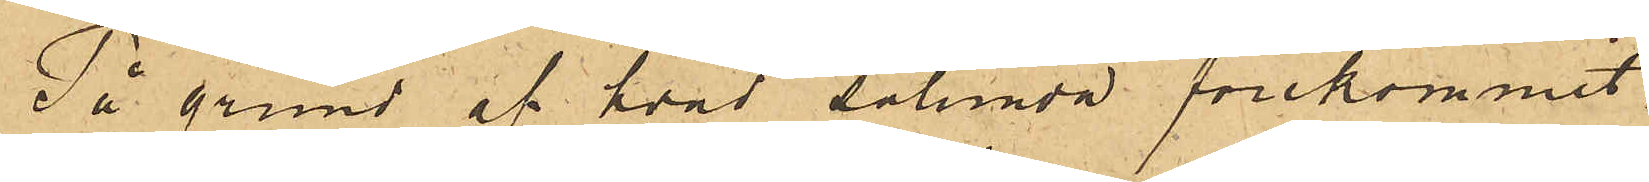På grund af hvad sålunda förekommit,
